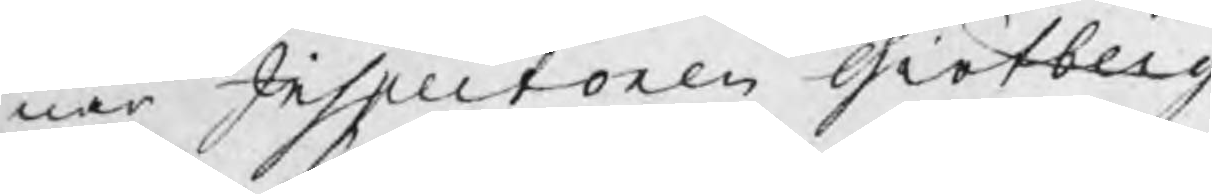nar Inspectoren Giötberg
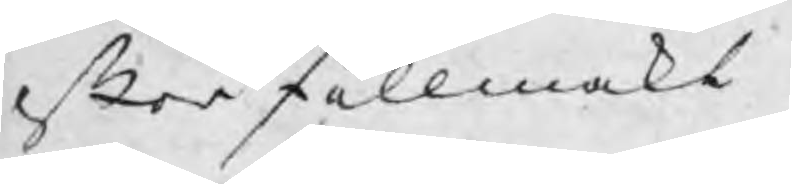efter fullmakt
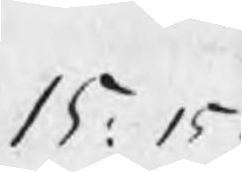15: 15.
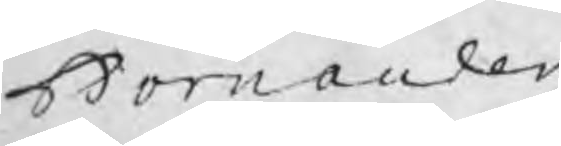Bornander
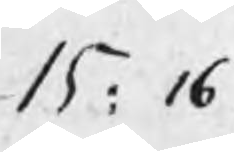15: 16.
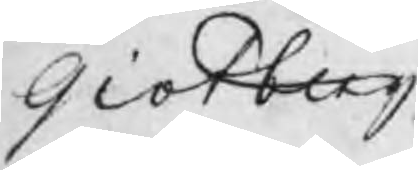Giötberg
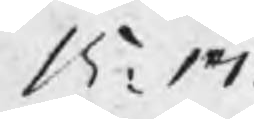15: 17.
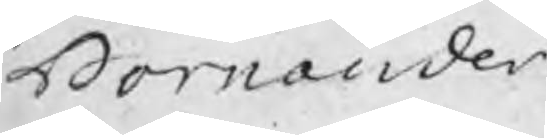Bornander
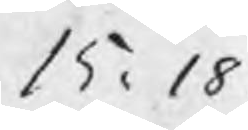15: 18.
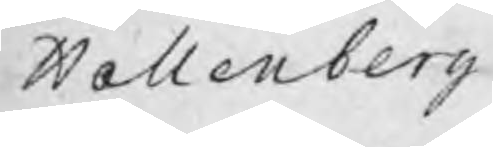Hallenberg
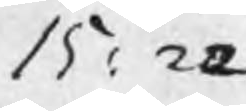15: 22
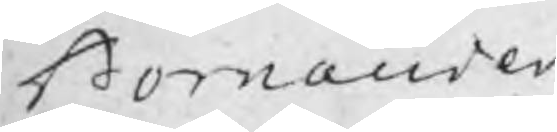Bornander
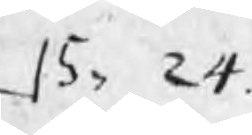15: 24.
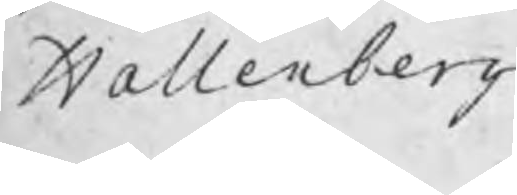Hellenberg
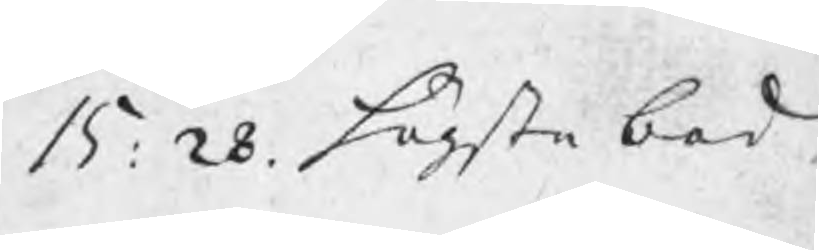15: 28. högsta bod
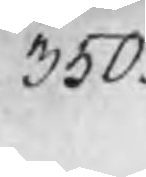350.
